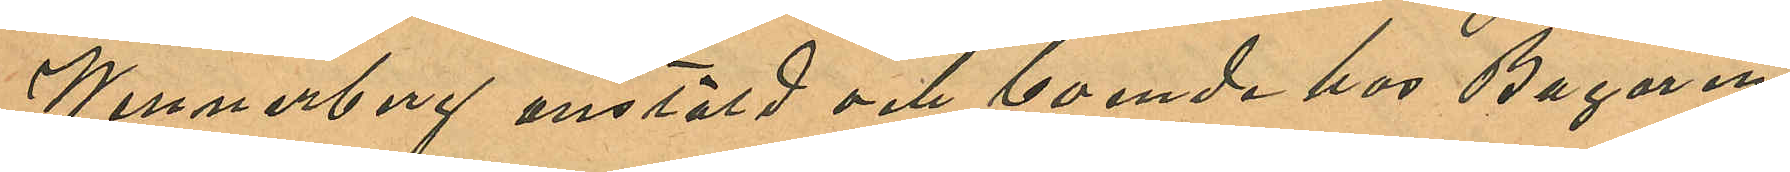Wennerberg anstäld och boende hos Bagaren
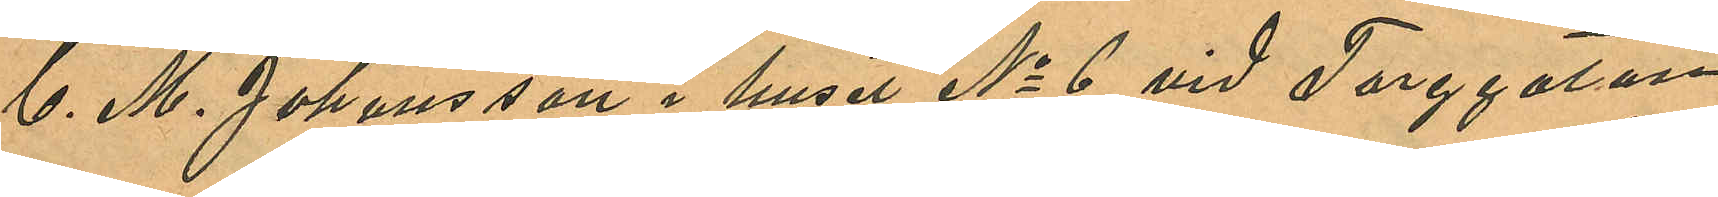C. M. Johansson i huset No 6 vid Torggatan
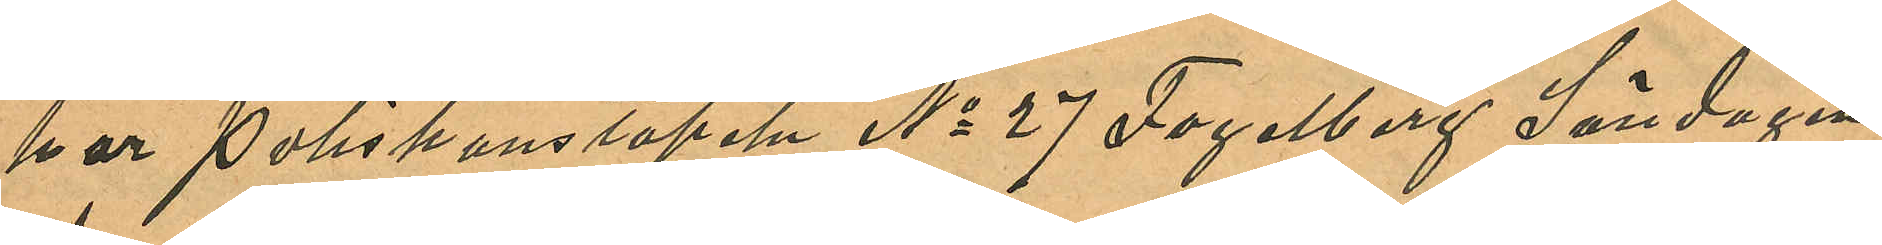har Poliskonstapeln No 27 Fogelberg Söndagen
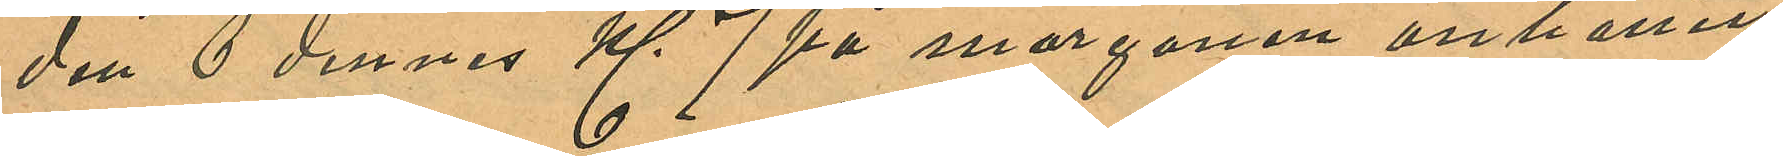den 6 dennes Kl. 7 på morgonen anhållit
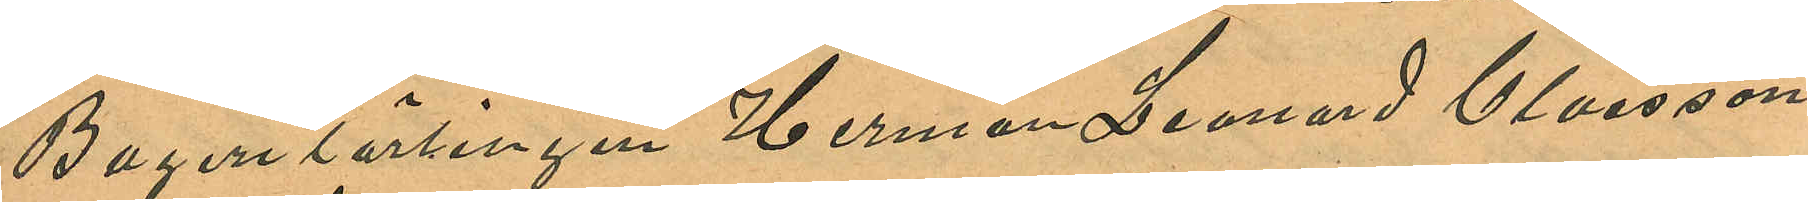Bagerilärlingen Herman Leonard Claesson
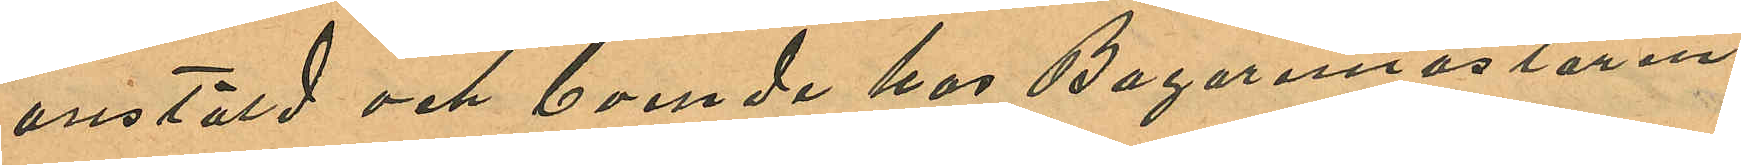anstäld och boende hos Bagaremästaren
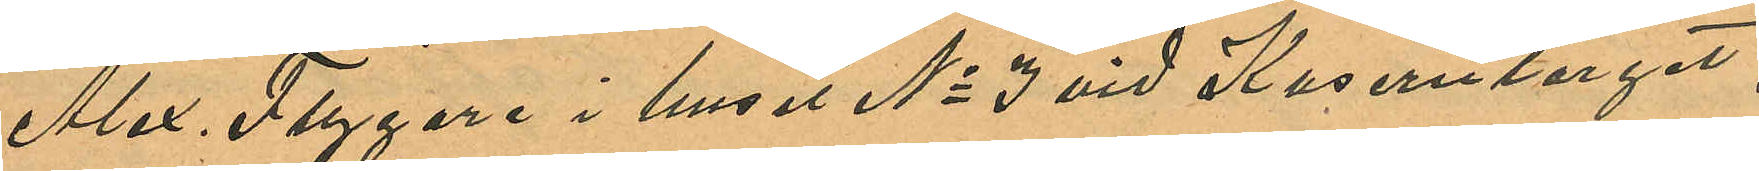Alex. Flygare i huset No 3 vid Kaserntorget,
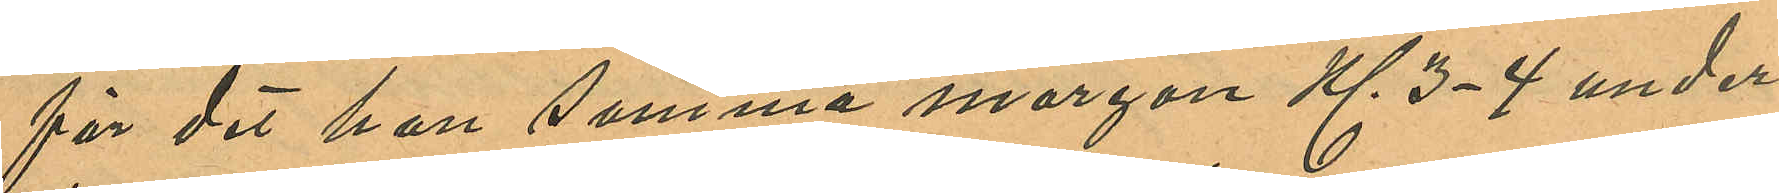för det han samma morgon Kl. 3-4 under
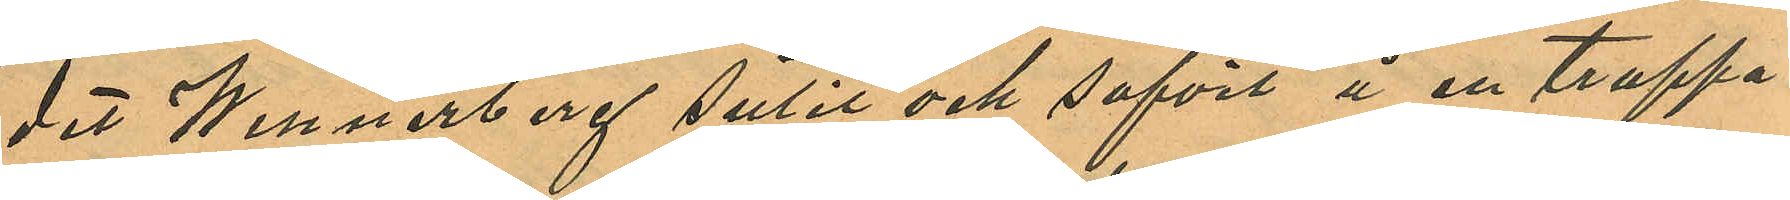det Wennerberg sutit och sofvit å en trappa
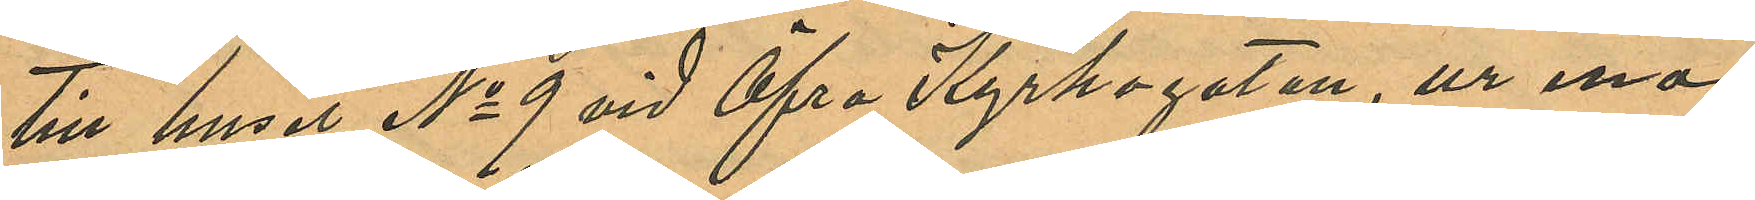till huset No 9 vid Öfra Kyrkogatan, ur ena
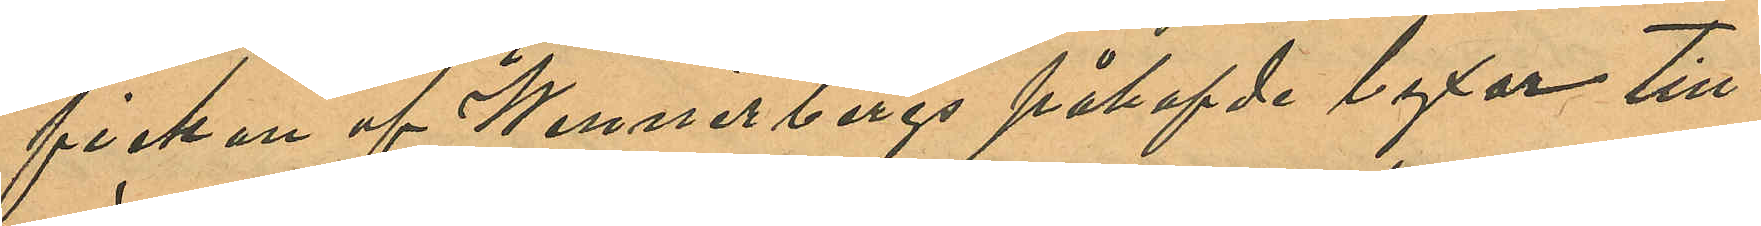fickan af Wennerbergs påhafvde byxor till
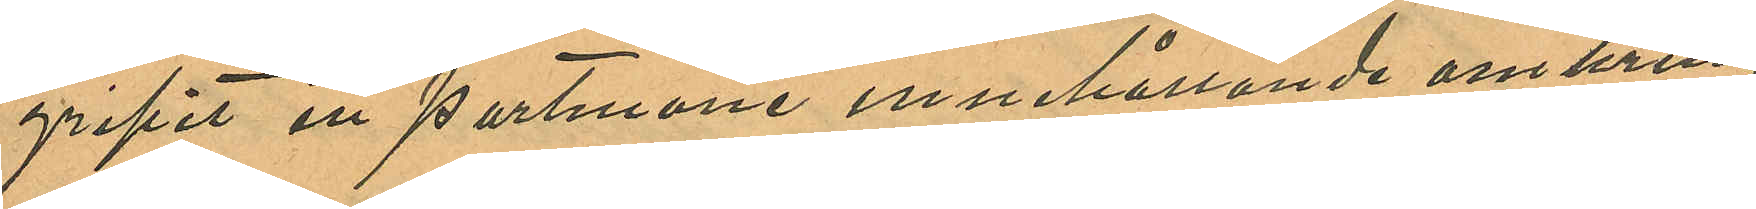gripit en portmone innehållande omkring
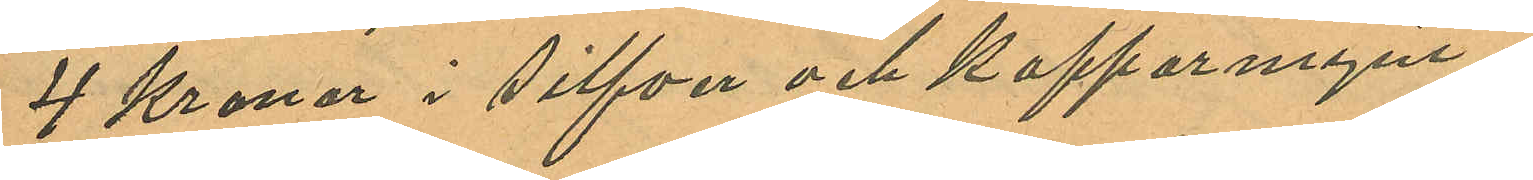4 Kronor i silfver och kopparmynt.
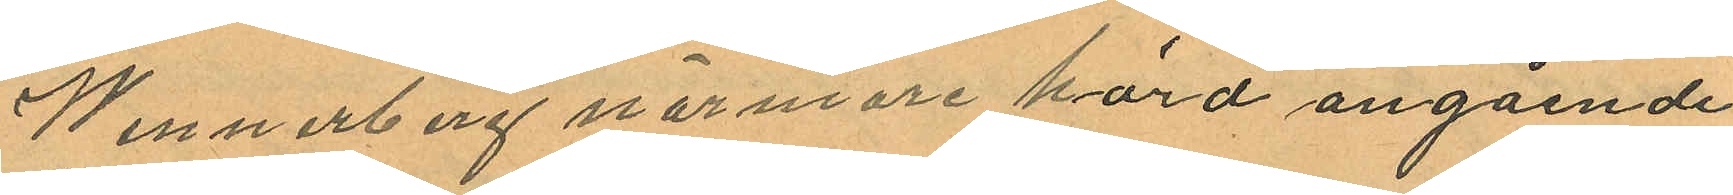Wennerberg närmare hörd angående
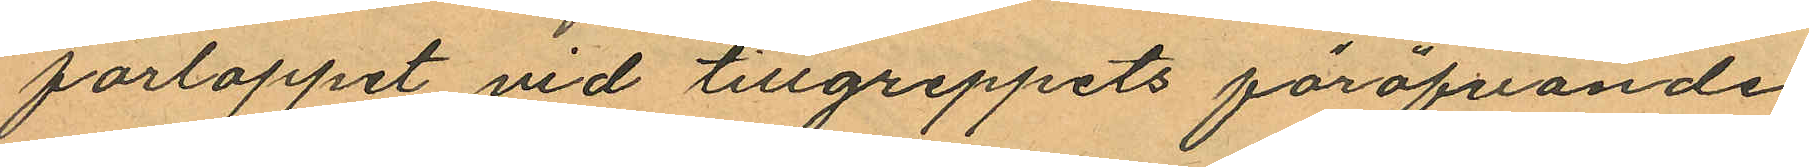förloppet vid tillgreppets föröfvande
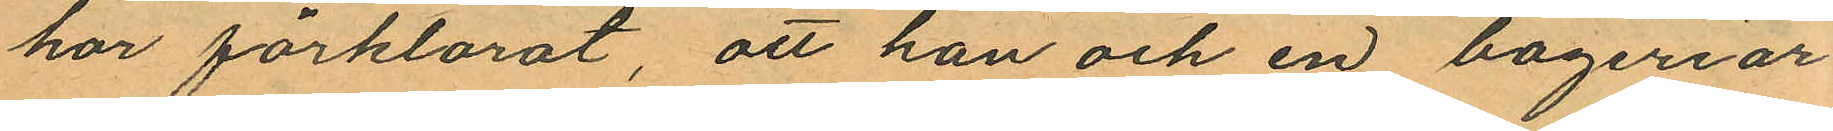har förklarat, att han och en bageriar
